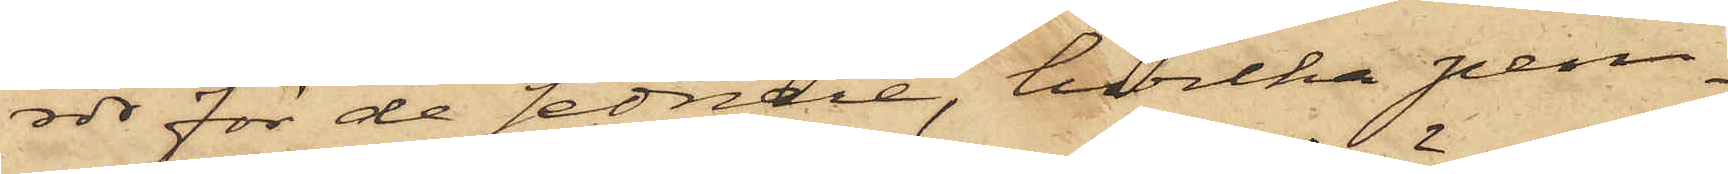rdr för de sednare, hvilka pen¬
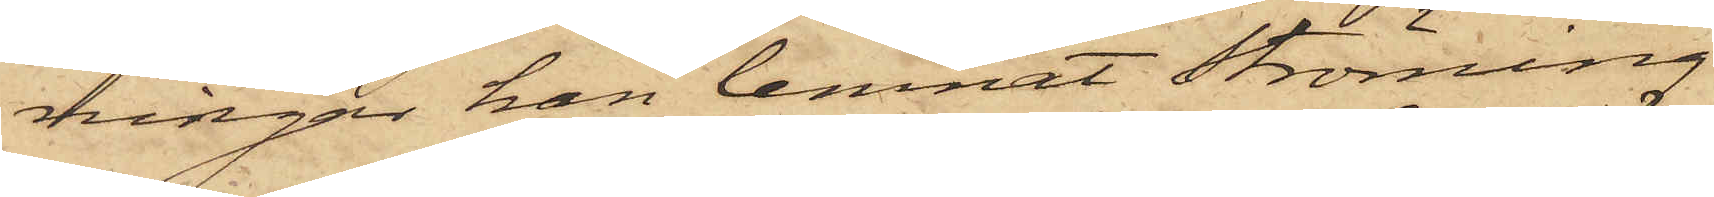ningar han lemnat Ströming
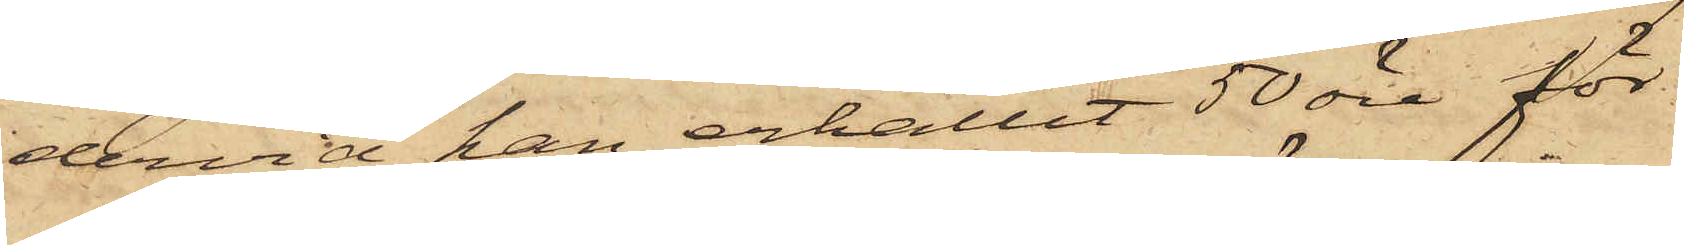dervid han erhållit 50 öre för
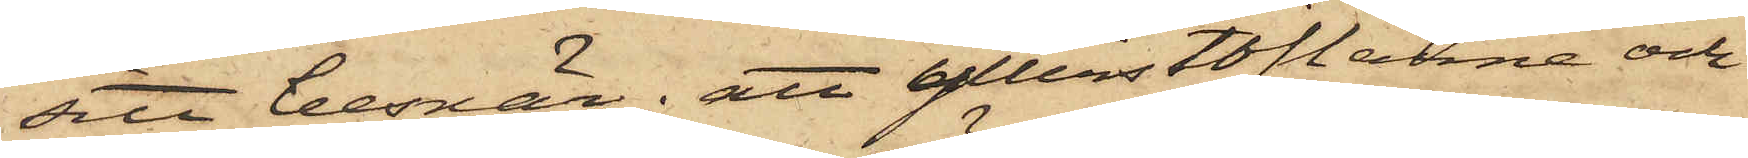sitt besvär; att ytterstöflarne och
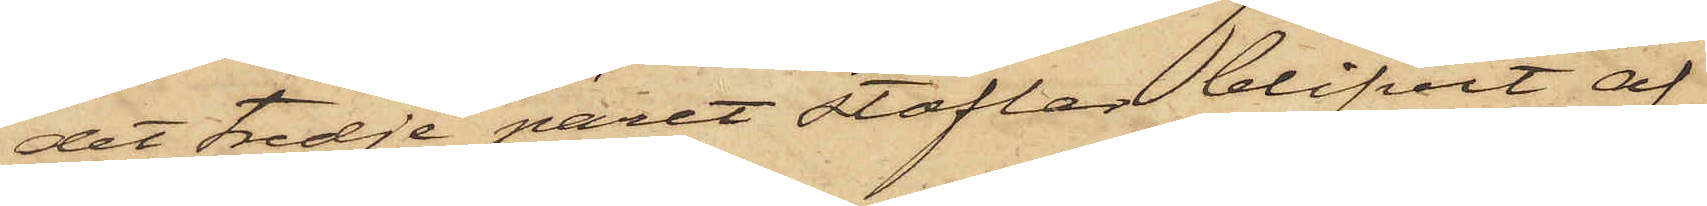det tredje paret stöflar blifvit af
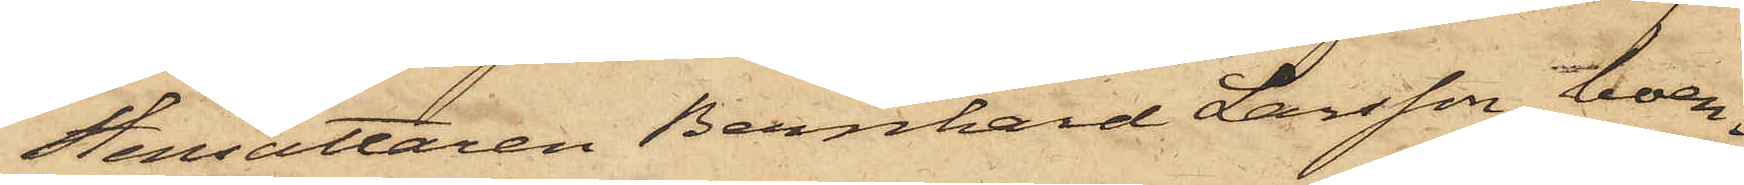Stensättaren Bernhard Larsson, boen¬
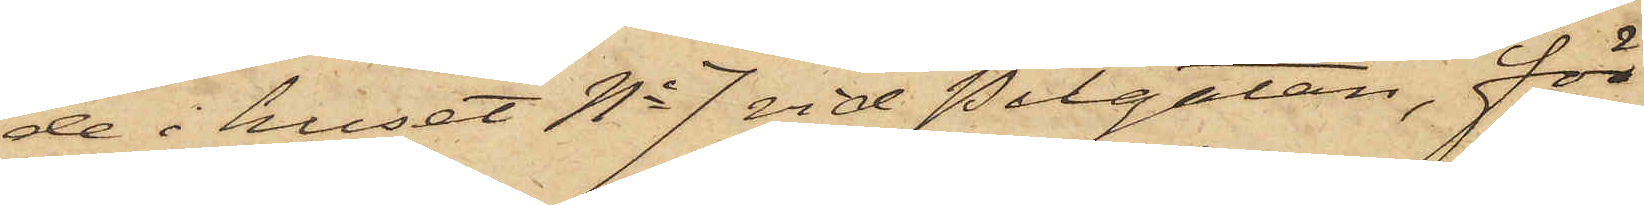de i huset No 7 vid Pilgatan, för
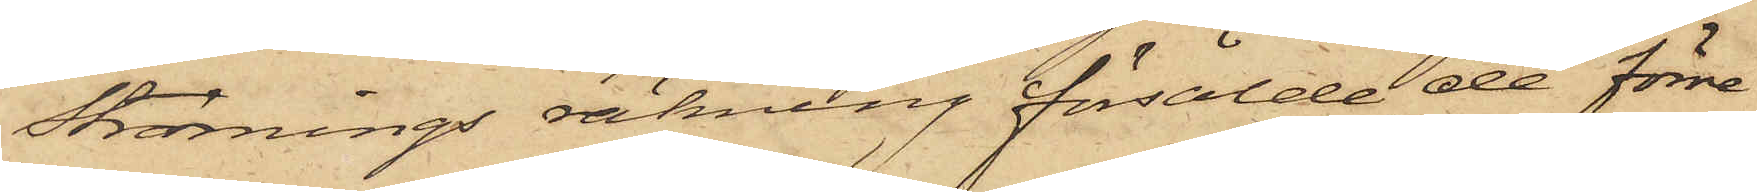Strömings räkning försålde de förre
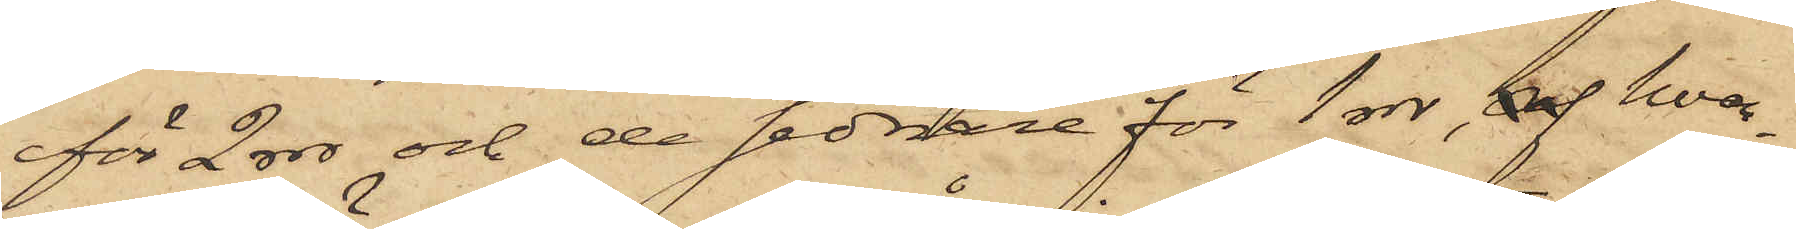för 2 rdr och de sednare för 1 rdr, af hvar¬
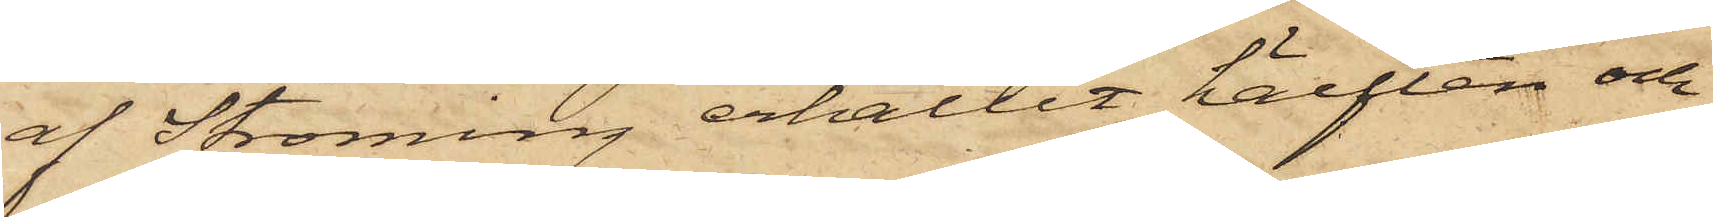af Ströming erhållit hälften och
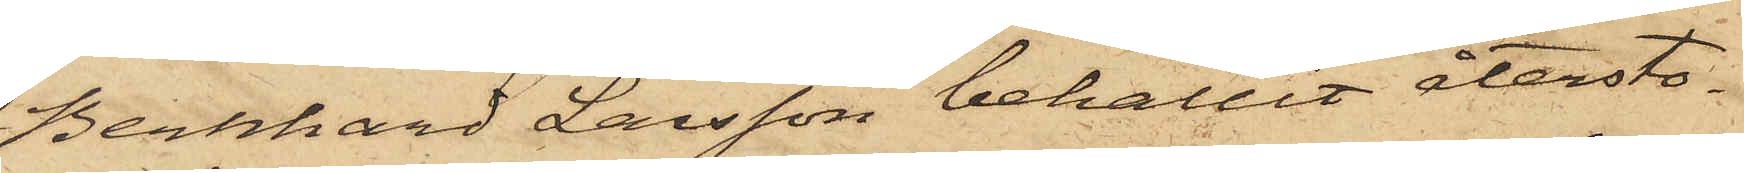Bernhard Larsson behållit återsto¬
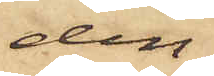den;
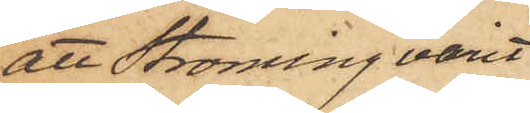att Ströming varit
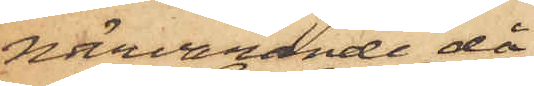närvarande då
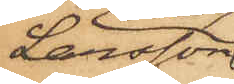Larsson
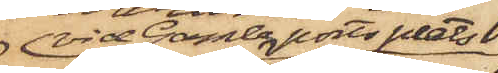vid Gamle ports plats
